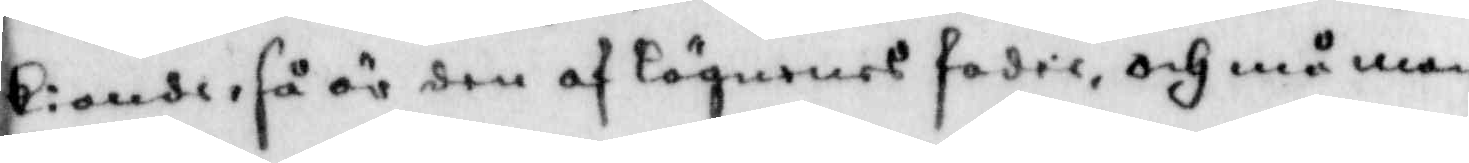kiande, så är den af lögnenes fasis, och må man
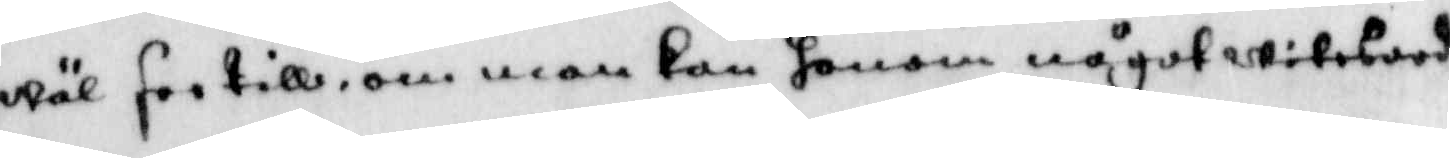wäl see till, om man kan honom något witebord
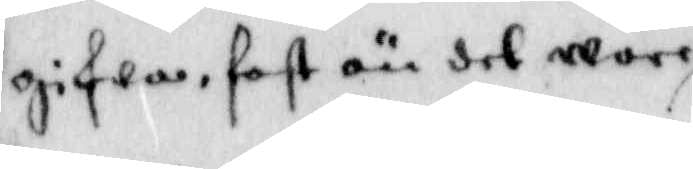gifwa, fast än det wore
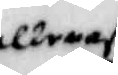allenast
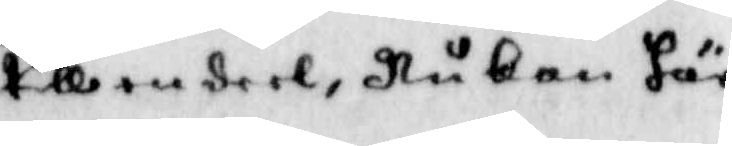till en deel, Nu kan här
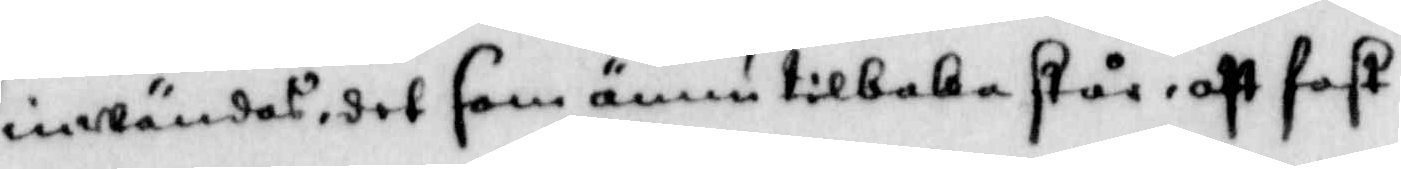inwändas, det som ännu tilbaka står, att fast
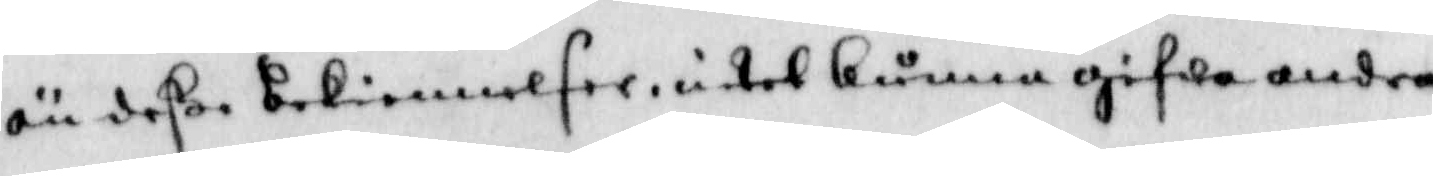än deße bekiennelser, intet kunna gifwa andra
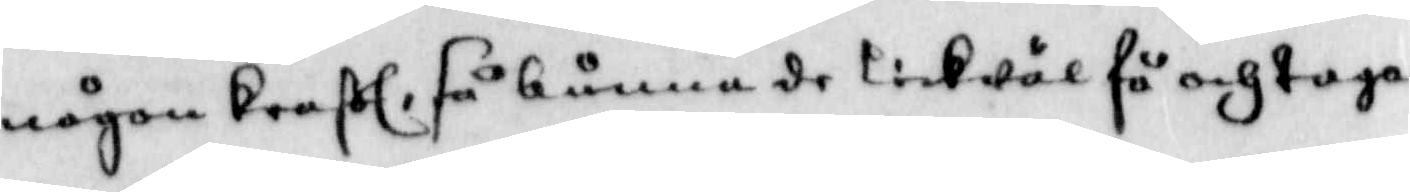någon kraft, så kunna de likwäl få och taga
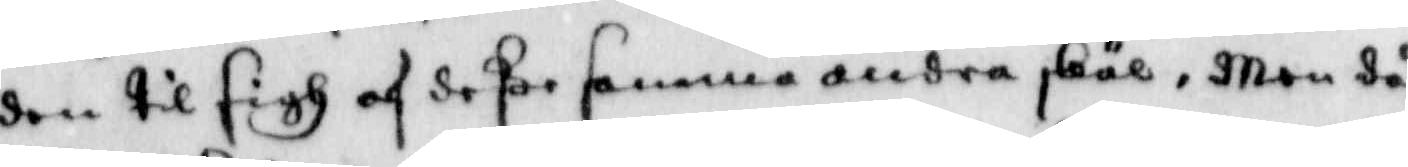den til sigh af deße samma andra skäl, Men då
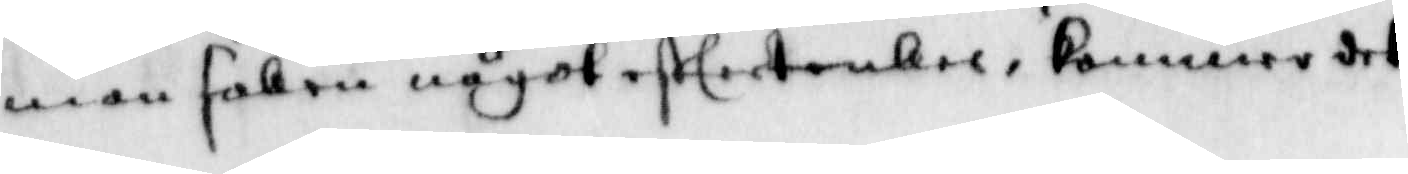man saken något eftertankes, kommer det
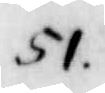51.
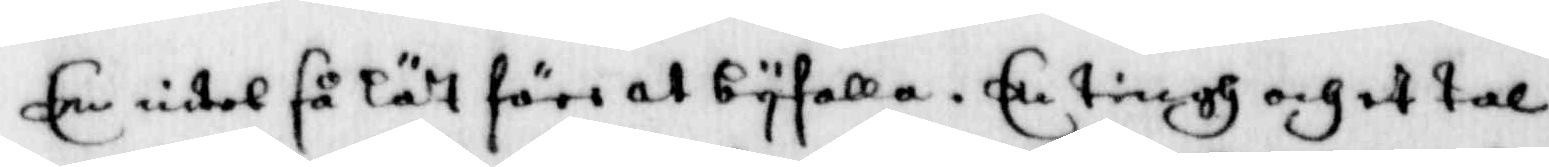Een intel så lätt före at byfalla. En tingh och et tal
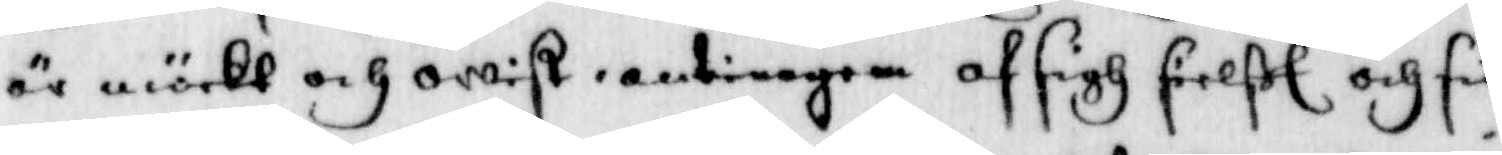är mörkt och owist, antingen af sigh sielft och sin
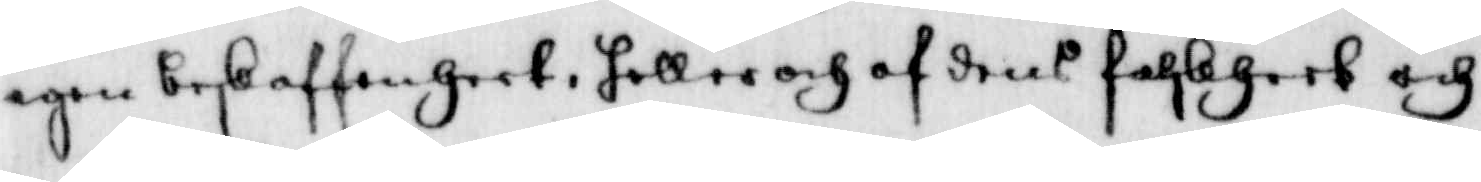egen beskaffenheet, heller och af dens falskheet och
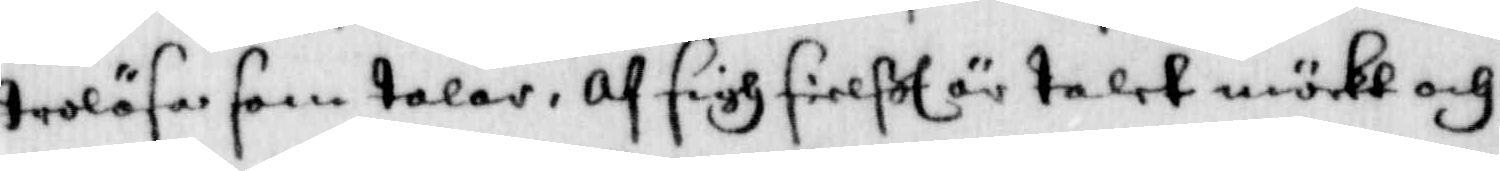trolösa som talar, af sigh sielft är talet mörkt och
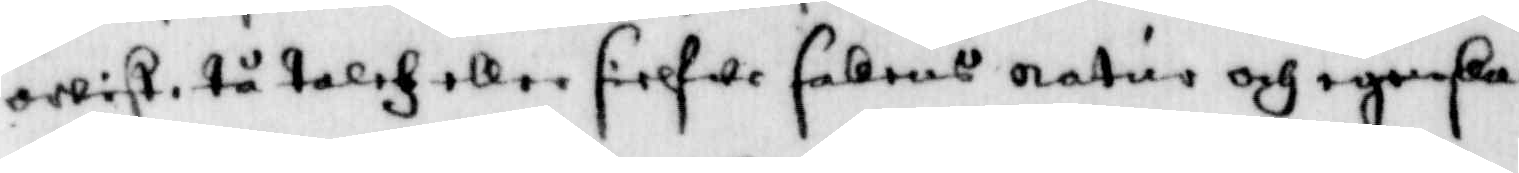qwixt, ta talet eller sielfwe sakens natur och egenska¬
